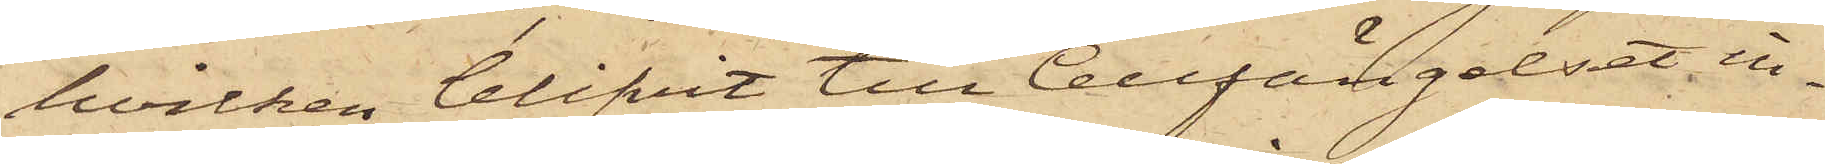hvilken blifvit till Cellfängelset in¬
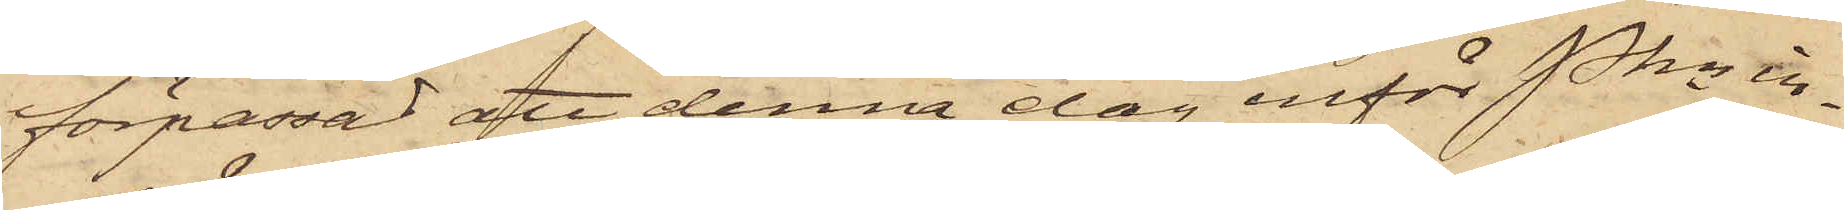förpassad att denna dag inför Pkn in¬
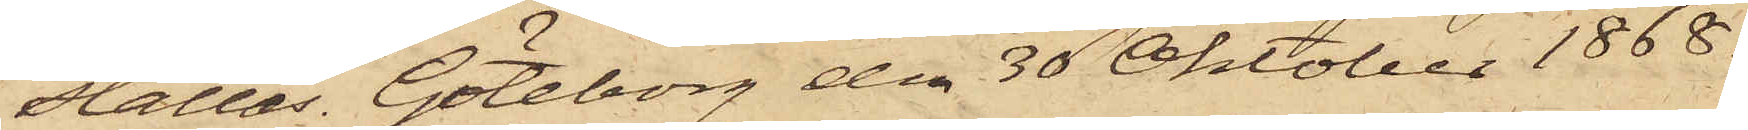ställas. Göteborg den 30 Oktober 1868.
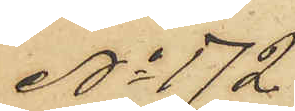No 172
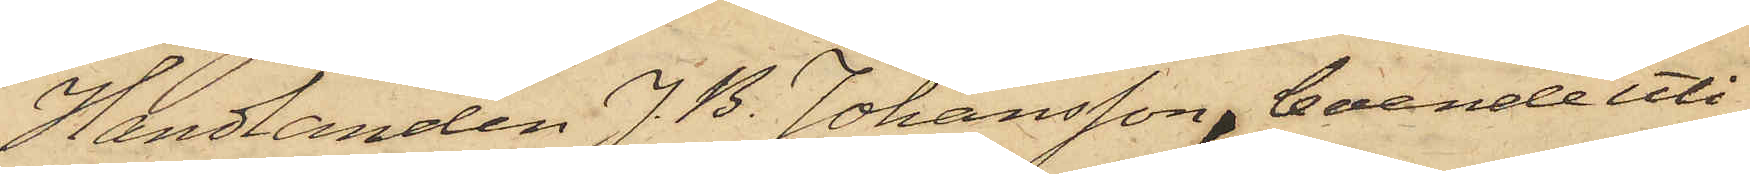Handlanden J. B. Johansson, boende uti
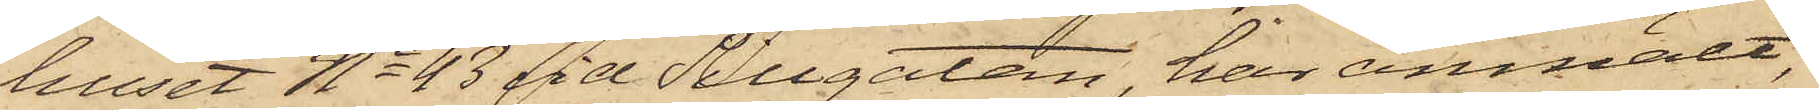huset No 43 vid Sillgatan, har anmält,
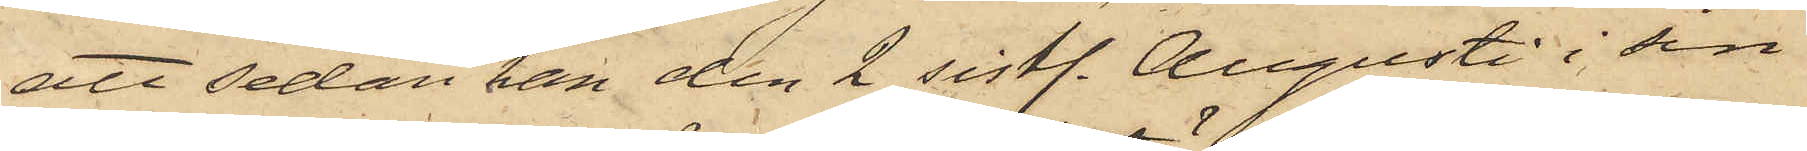att sedan han den 2 sistl. Augusti i sin
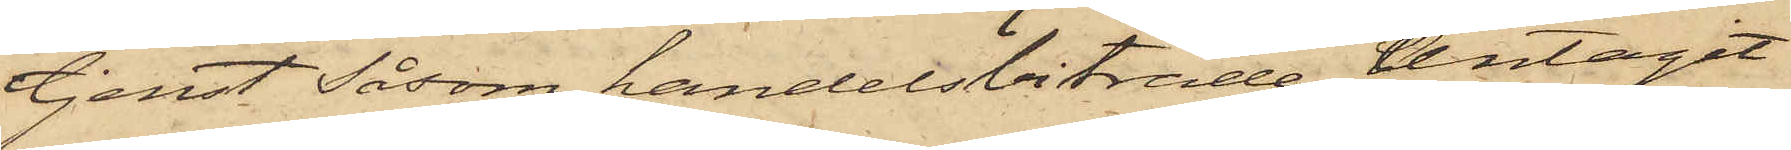tjenst Såsom handelsbiträde Antagit
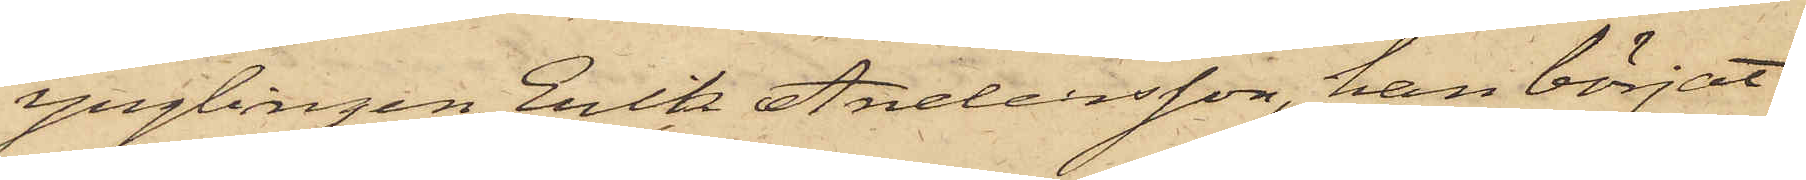ynglingen Erik Andersson, han börjat
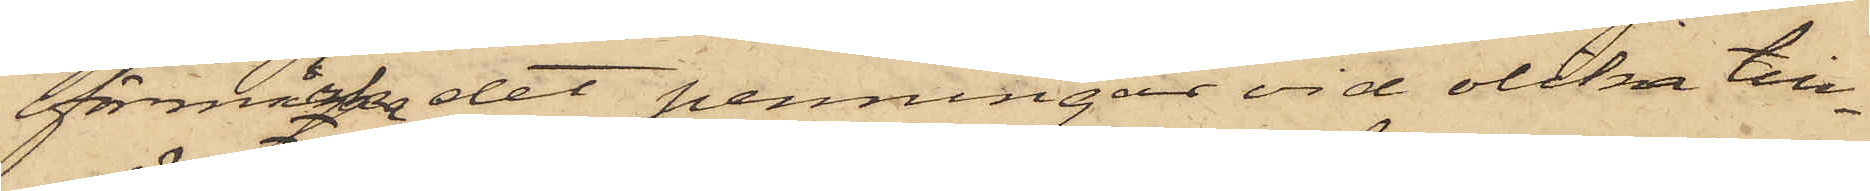förmärka det penningar vid olika till¬
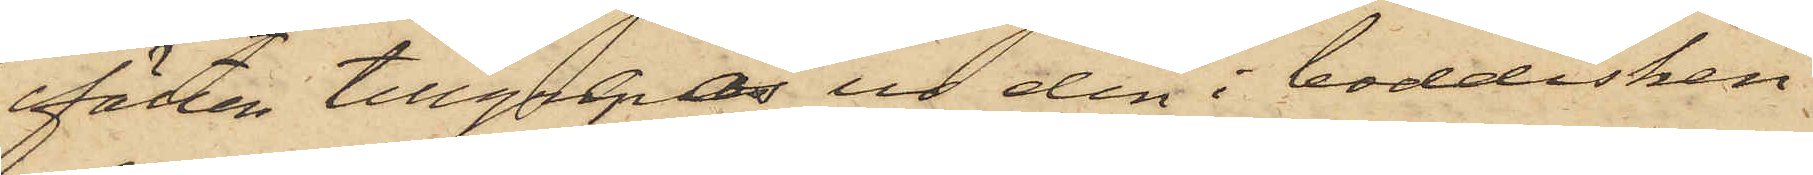fällen tillgrepos ur den i boddisken
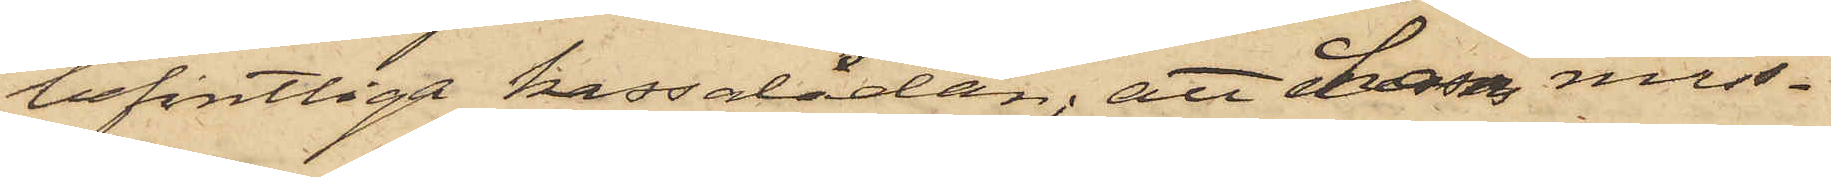befintliga kassalådan; att hans miss¬
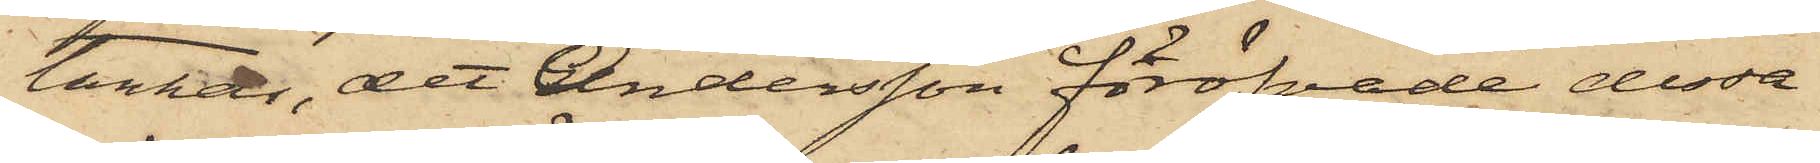tankar, det Andersson föröfvade dessa
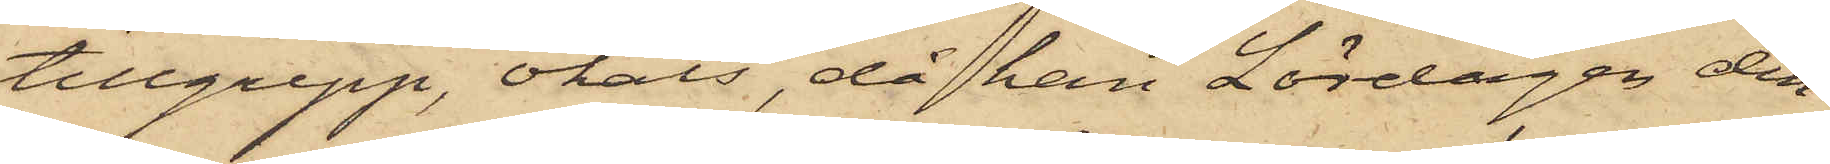tillgrepp, ökats, då han Lördagen den
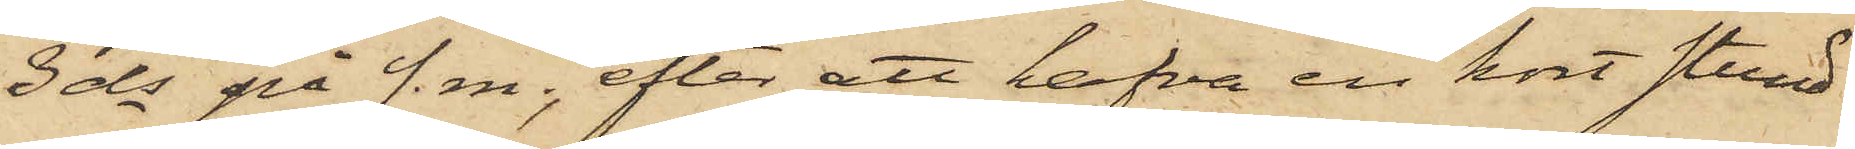3 ds på f. m., efter att hafva en kort stund
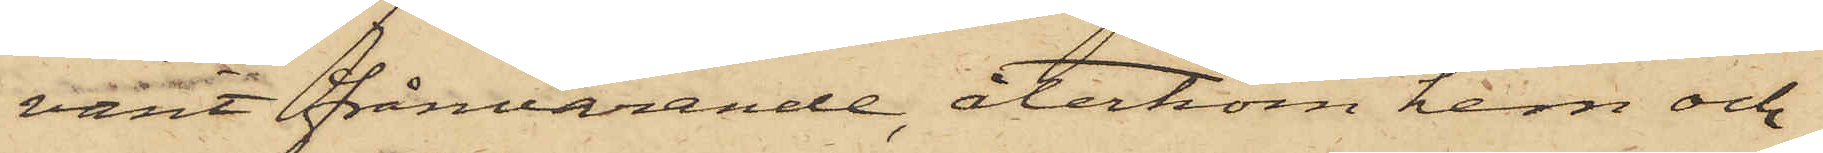varit frånvarande, återkom hem och
